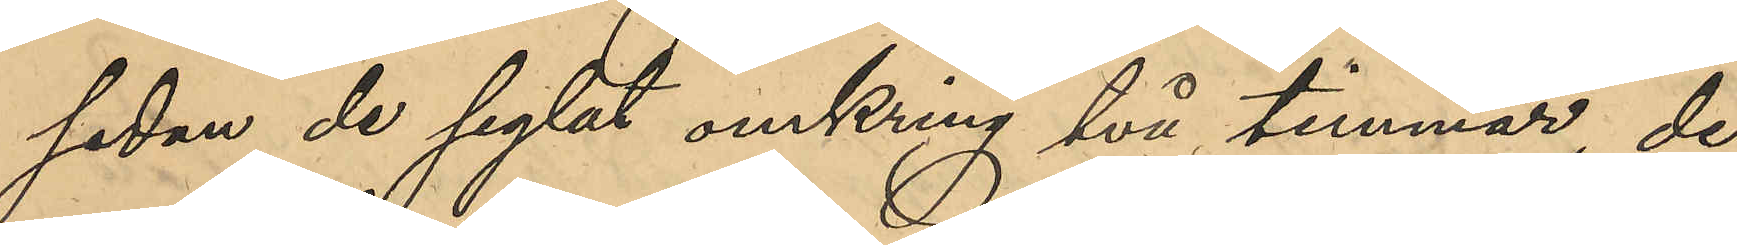sedan de seglat omkring två timmar, de
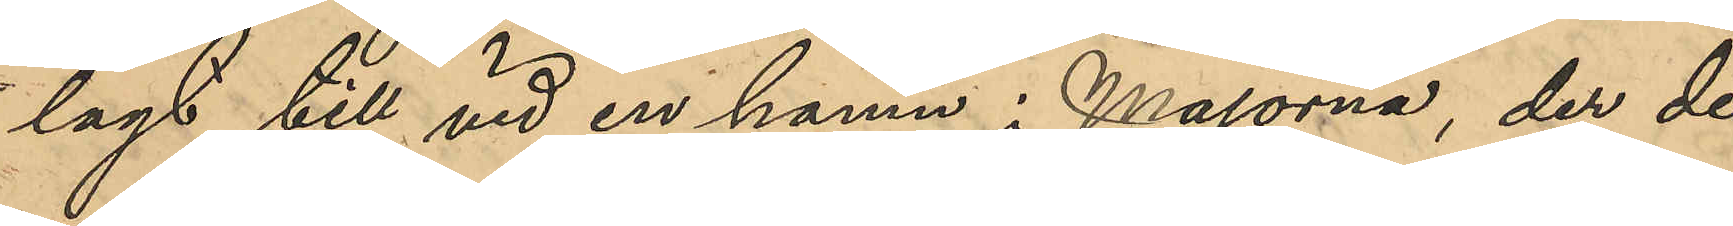lagt till vid en hamn i Majorna, der de
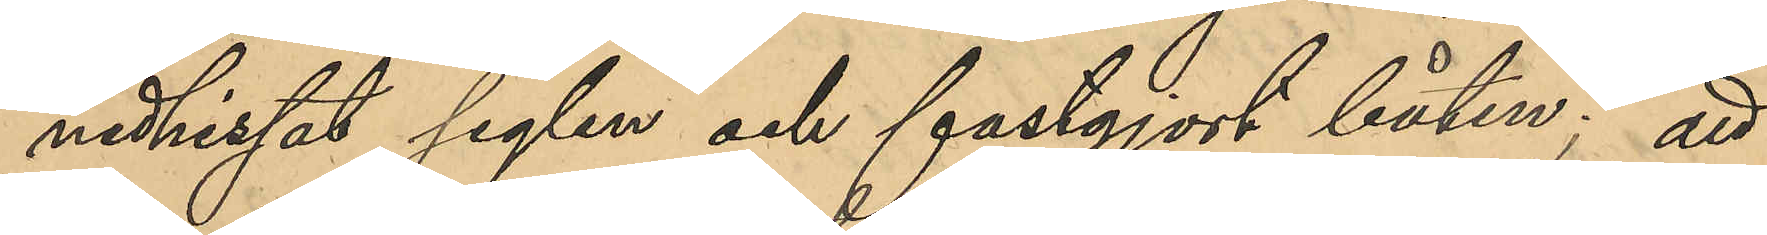nedhissat seglen och fastgjort båten; att
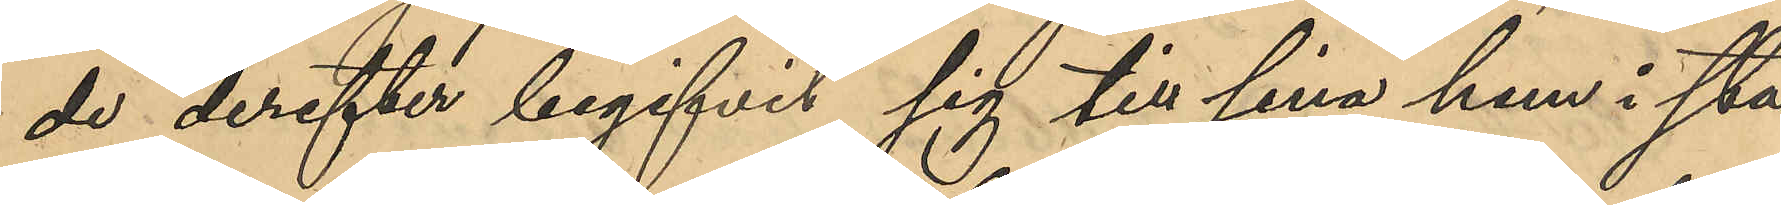de derefter begifvit sig till sina hem i sta¬
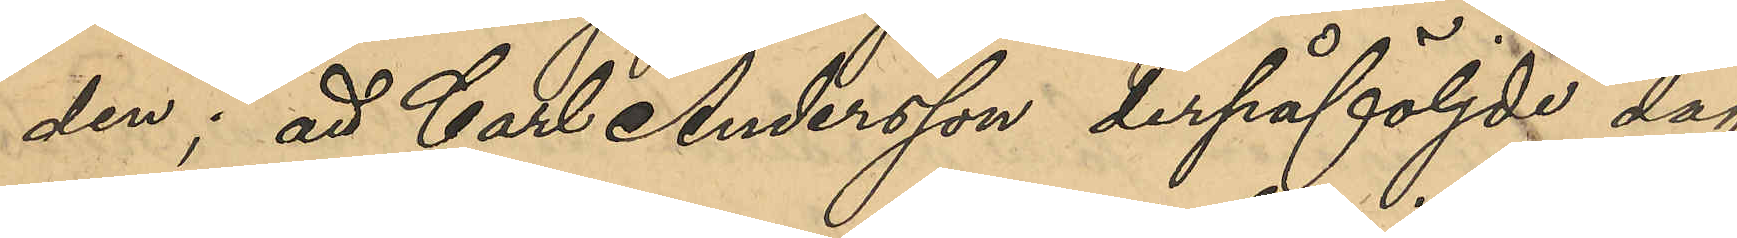den; att Carl Andersson derpåföljde dag
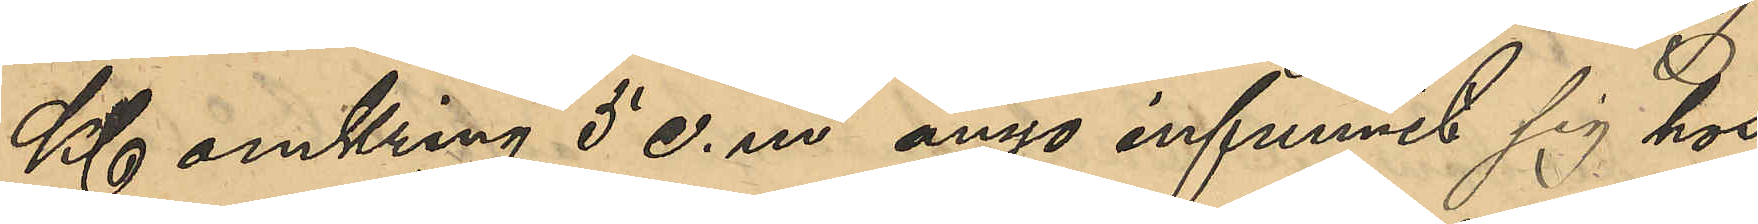Kl omkring 5 e. m ånyo infunnit sig hos
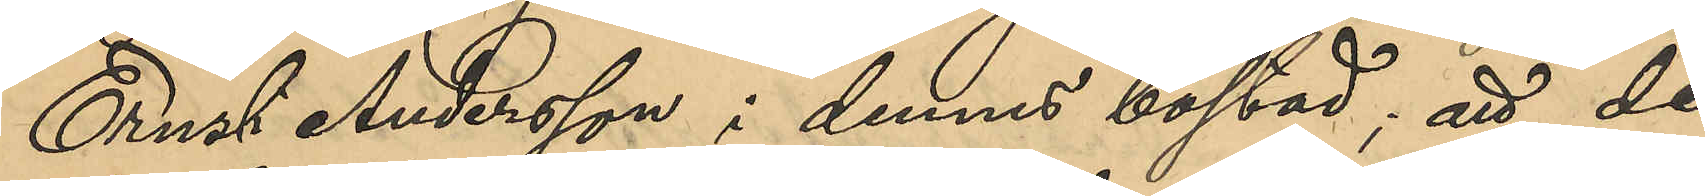Ernst Andersson i dennes bostad; att de
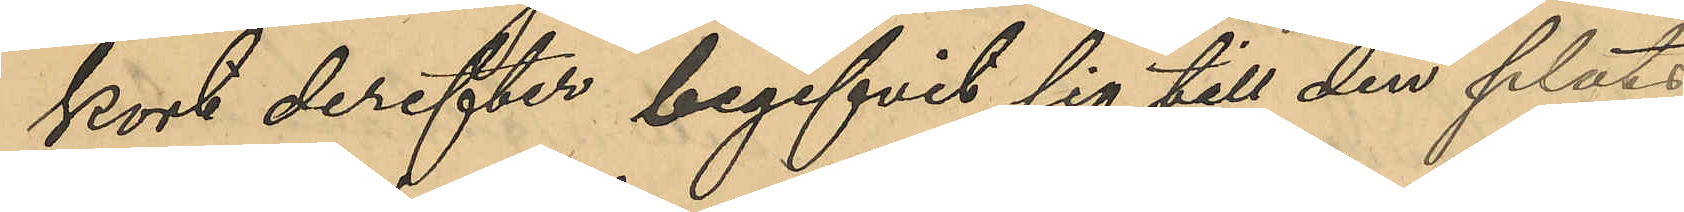kort derefter begifvit sig till den plats
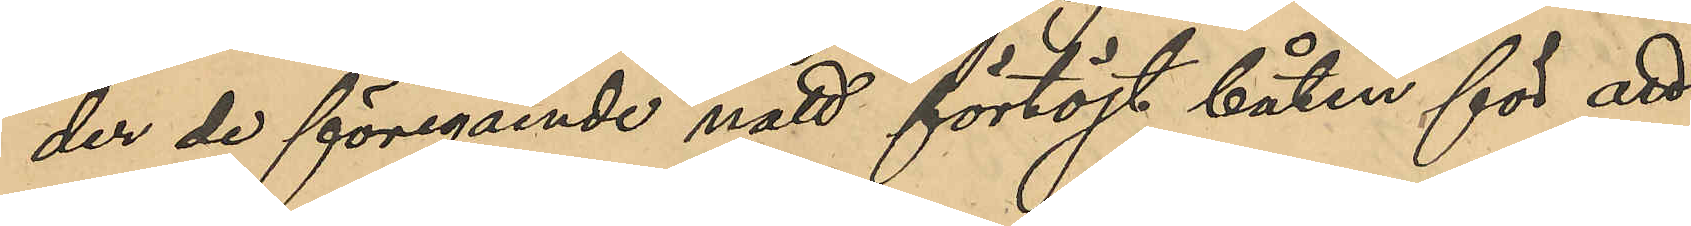der de föregående natt förtöjt båten för att
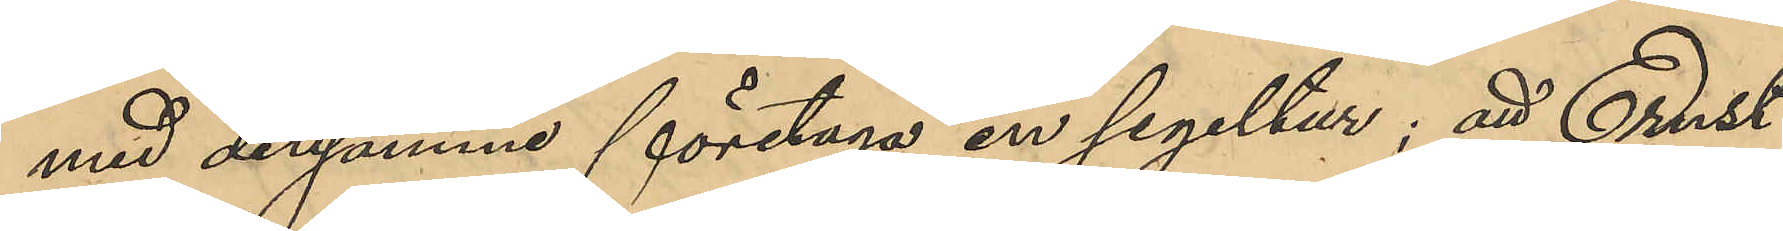med densamme företaga en segeltur; att Ernst
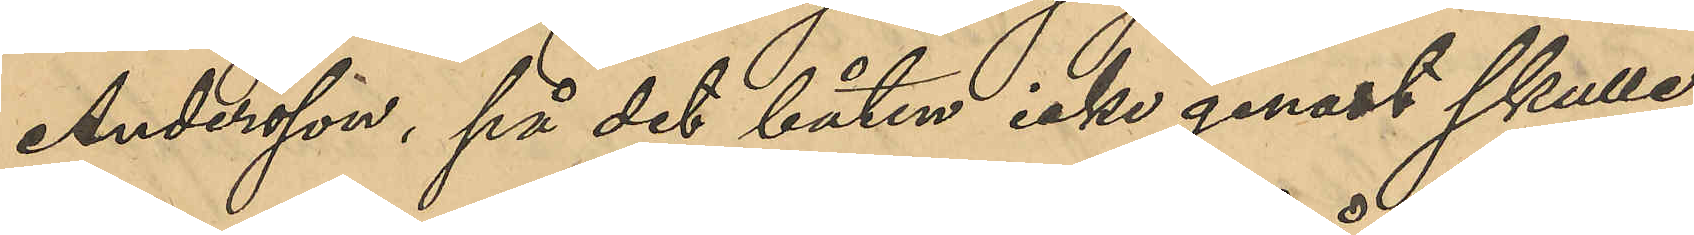Andersson, på det båten icke genast skulle
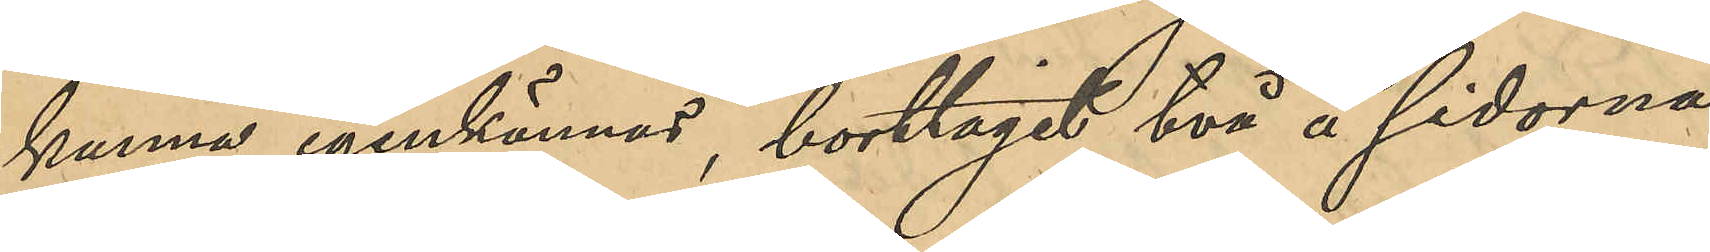kunna igenkännas, borttagit två på sidorna
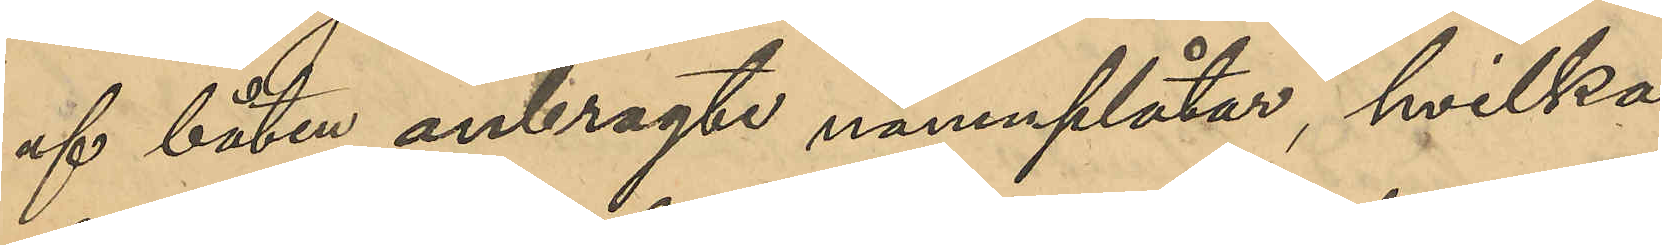af båten anbragte namnplåtar, hvilka
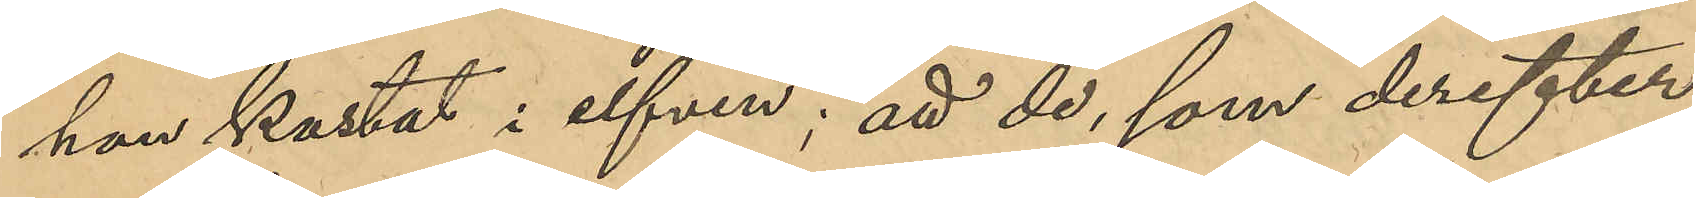han kastat i elfven; att de, som derefter
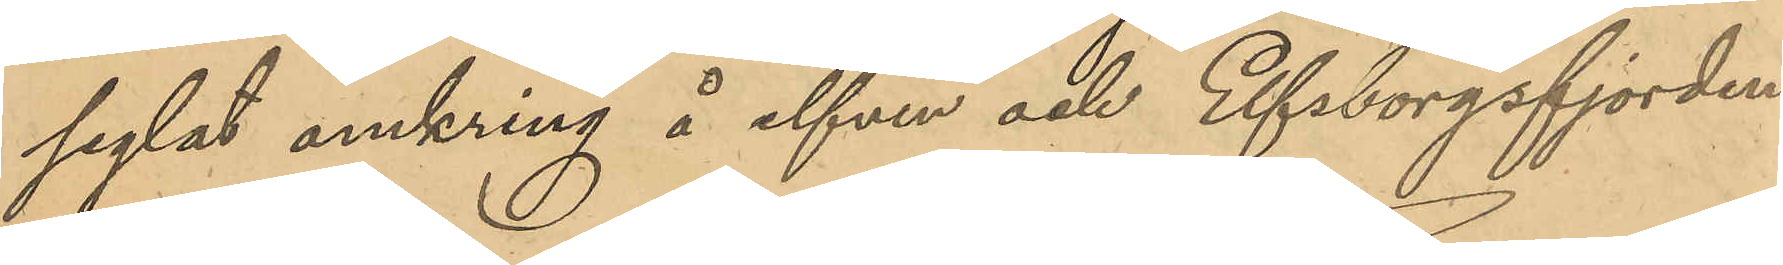seglat omkring å elfven och Elfsborgsfjorden
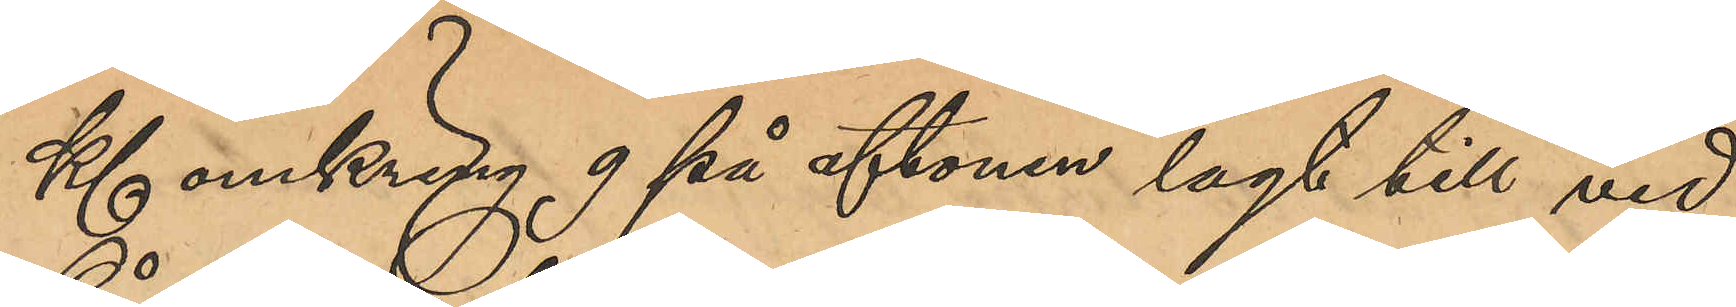Kl omkring 9 på aftonen lagt till vid
